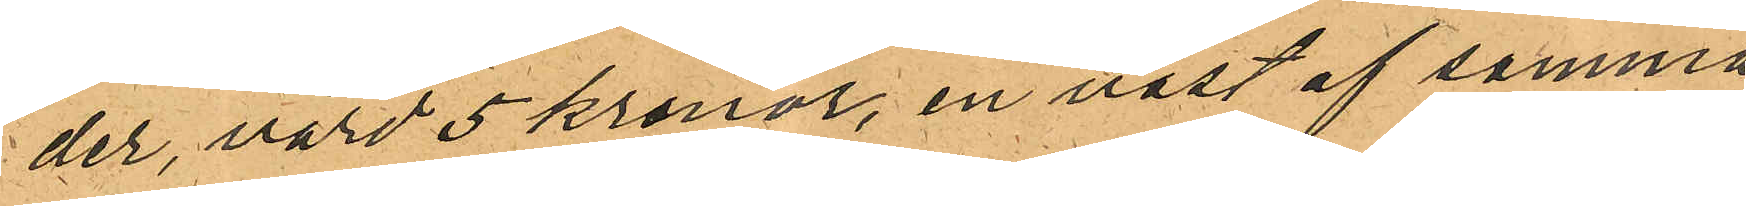der, värd 5 kronor, en väst af samma
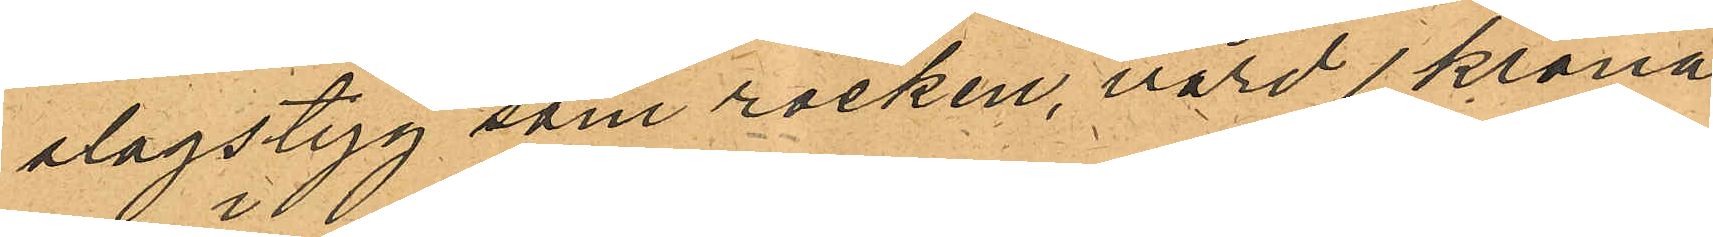slags tyg som rocken, värd 1 krona
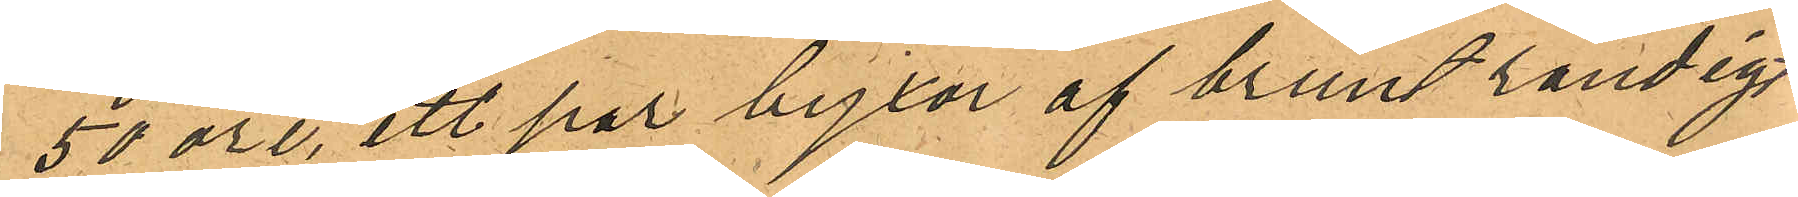50 öre, ett par byxor af brunt randigt
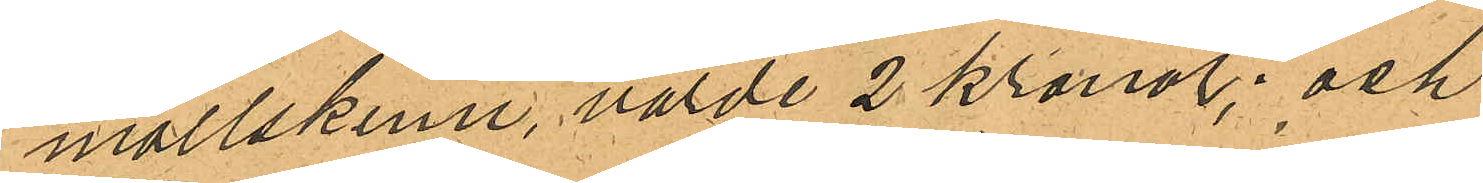mollskinn, värde 2 kronor; och
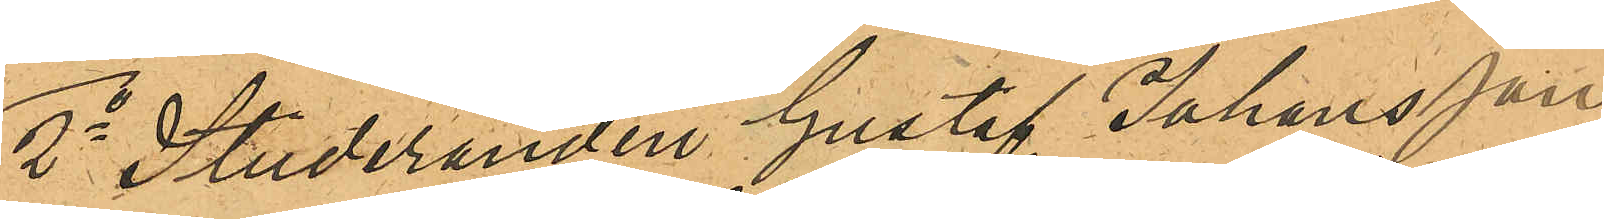2o Studeranden Gustaf Johansson
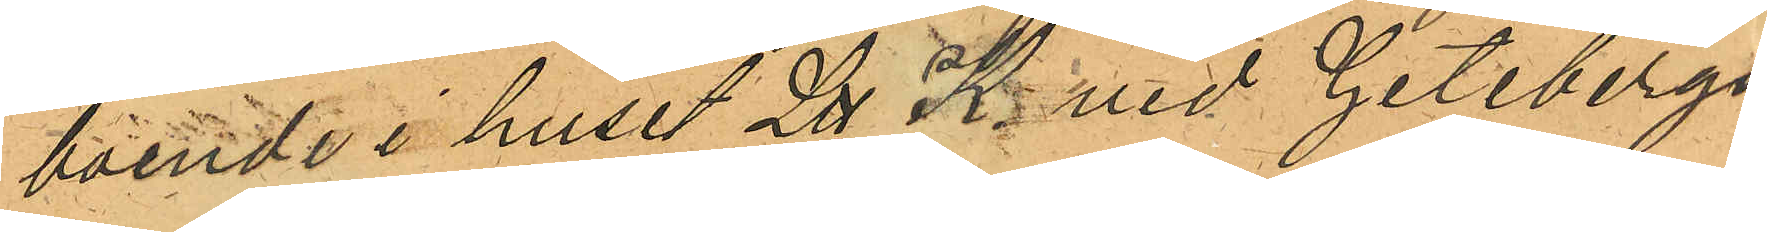boende i huset Litt K. vid Getebergs¬
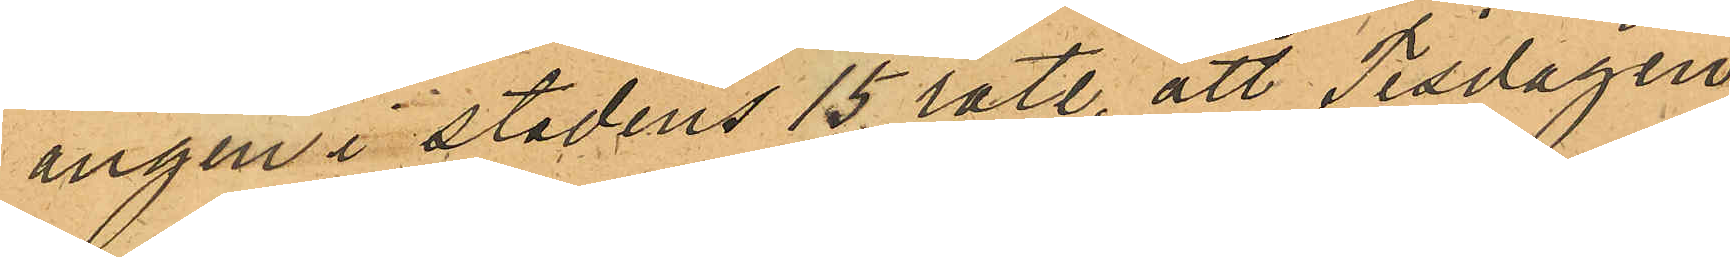angen i stadens 15 rote, att Tisdagen
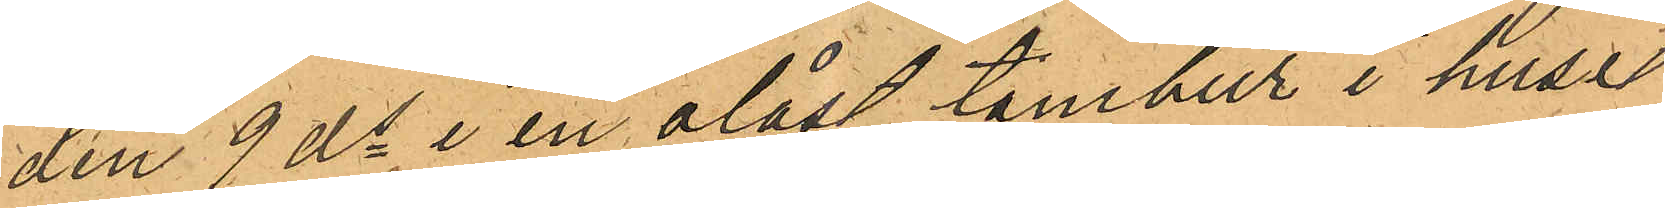den 9 ds i en olåst tambur i huset
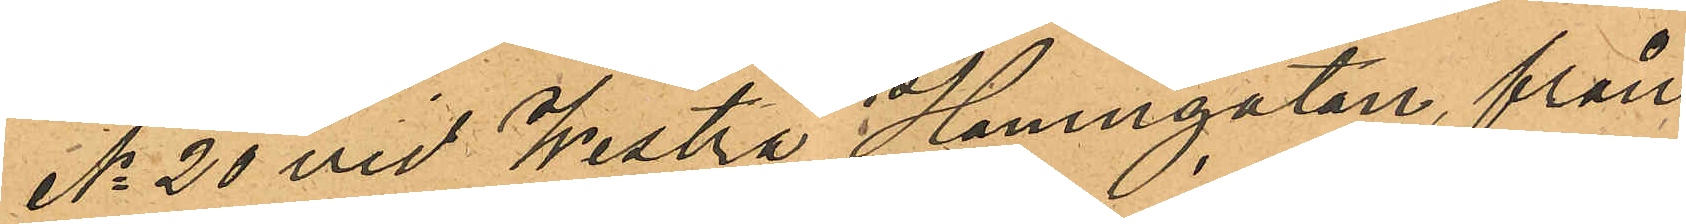No 20 vid Westra Hamngatan, från
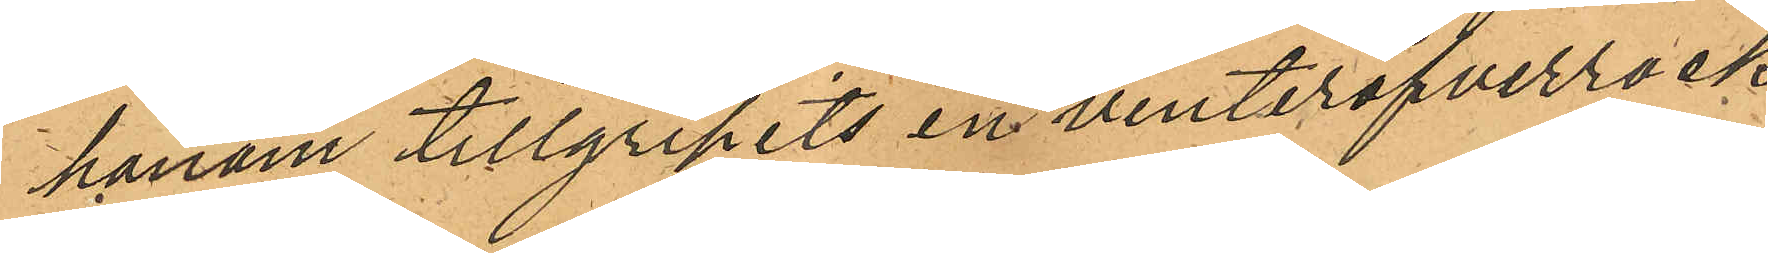honom tillgripits en vinteröfverrock
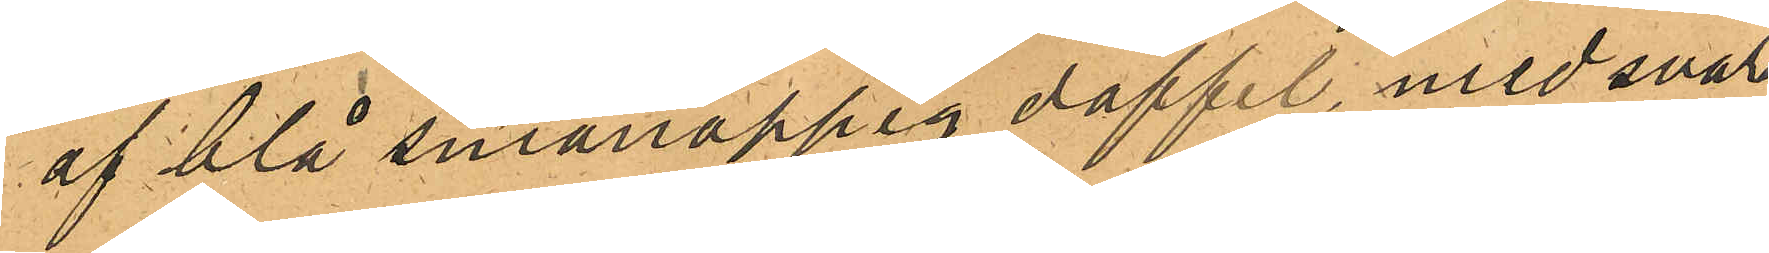af blå smånoppig doffel, med svart
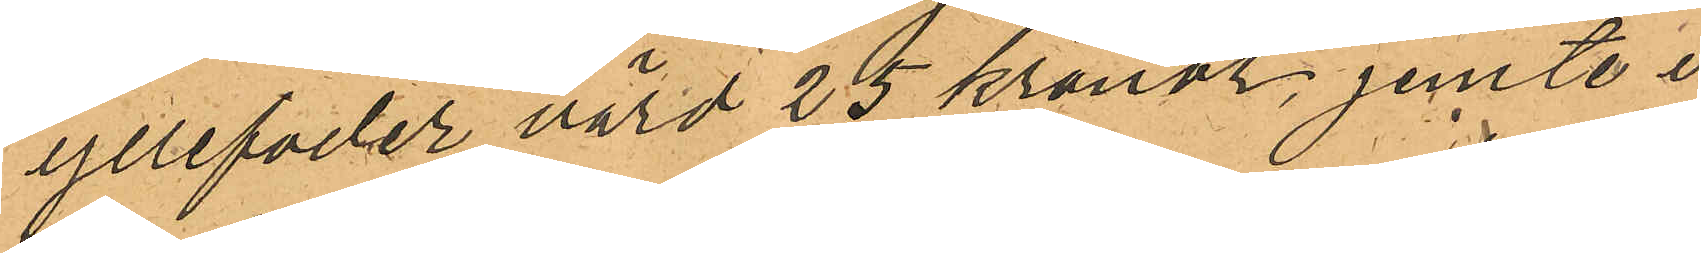yllefoder värd 25 kronor, jemte i
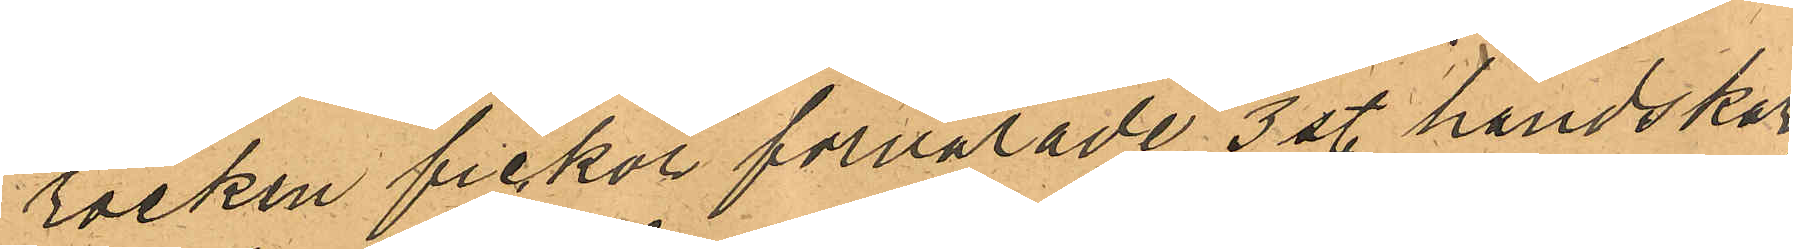rocken fickor förvarade 3 st. handskar,
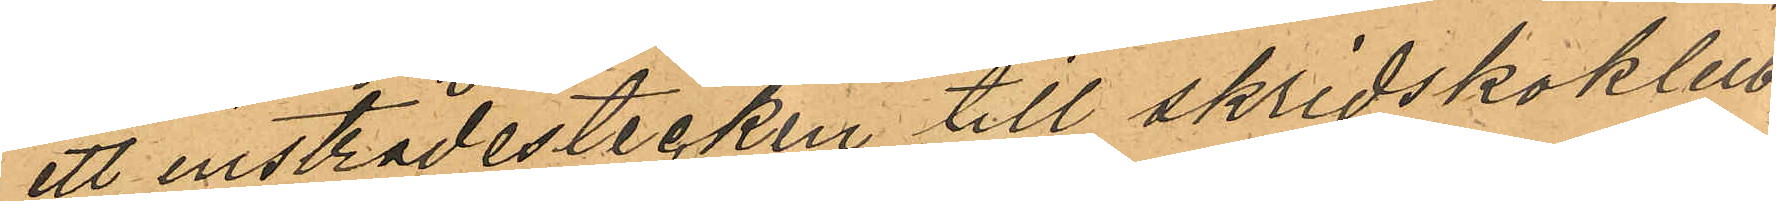ett insträdestecken till skridskoklub¬
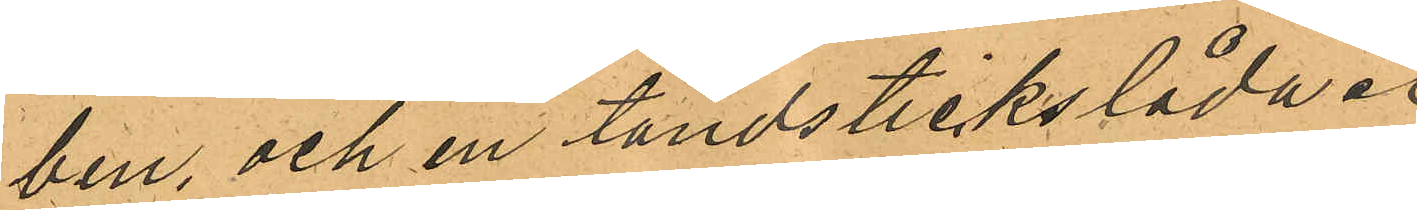ben, och en tändstickslåda.
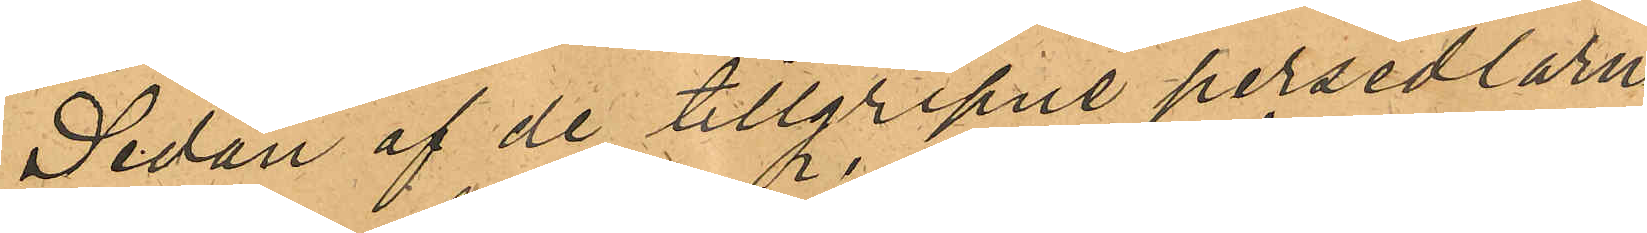Sedan af de tillgripne persedlarne
